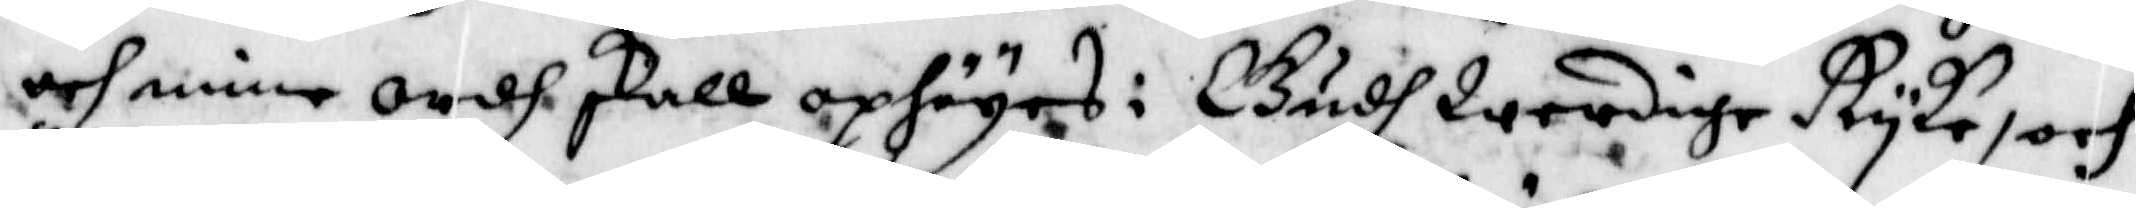och mine ordh skall opsäyes i Gudh Werdige Ryke, och
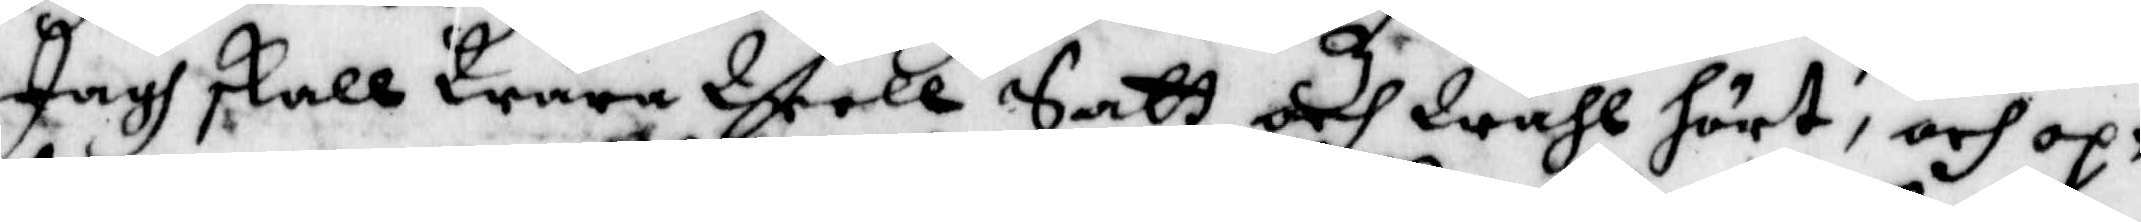Jagh skall Wara Well Satt och Wähl hört, och op¬
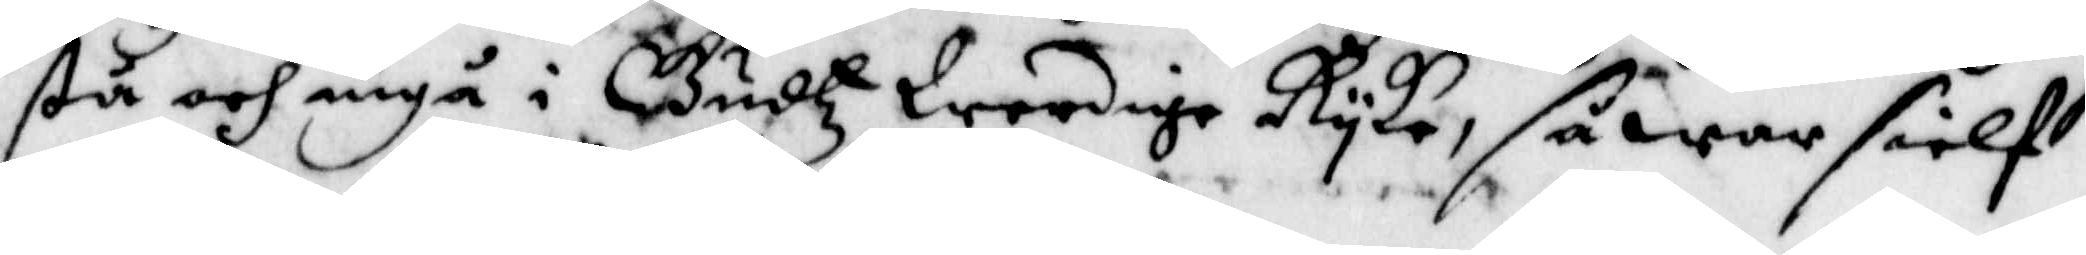stå och ingå i Gudhtz Werdige Ryke, så war sielf
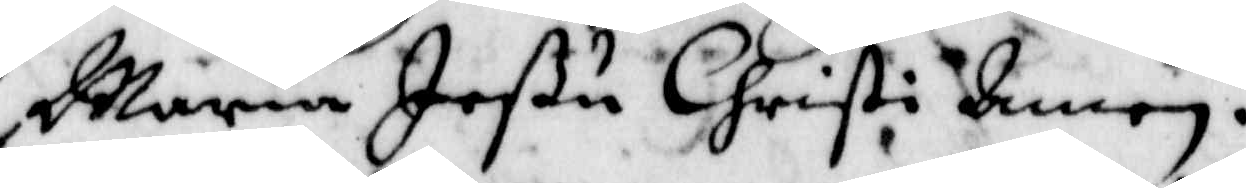Maria Jeßu Christi Amen.
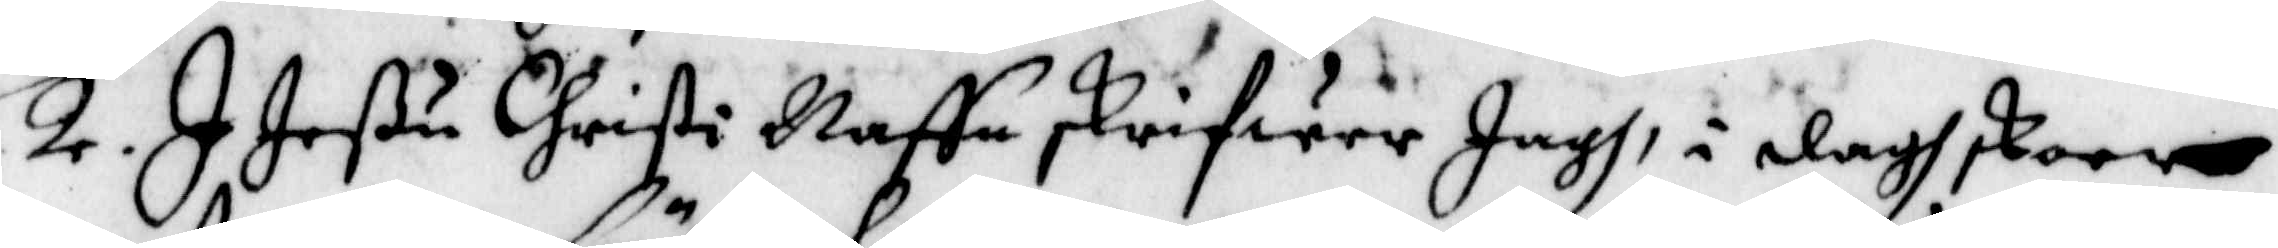2. I Jeßu Christi Naffn skrifwer Jagh, i dagh skoer
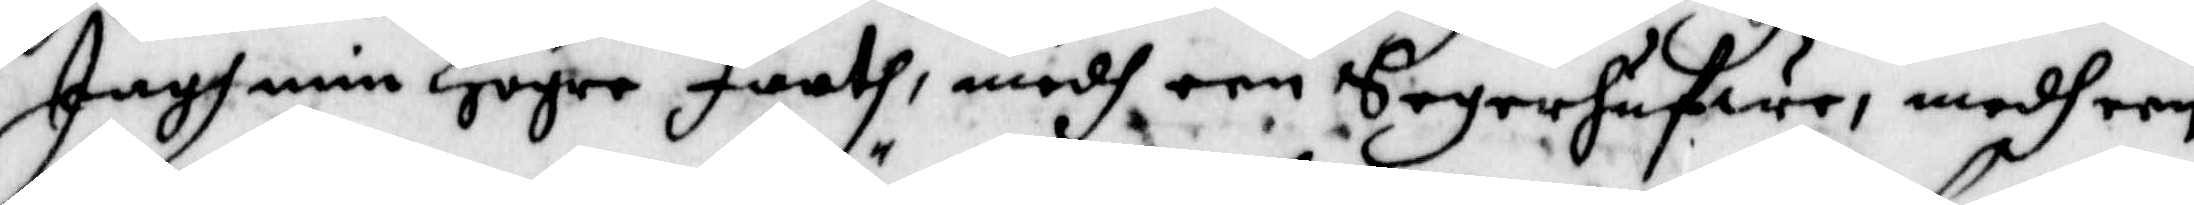Jagh min Högre Faath, medh een Segerhufwe, medh een
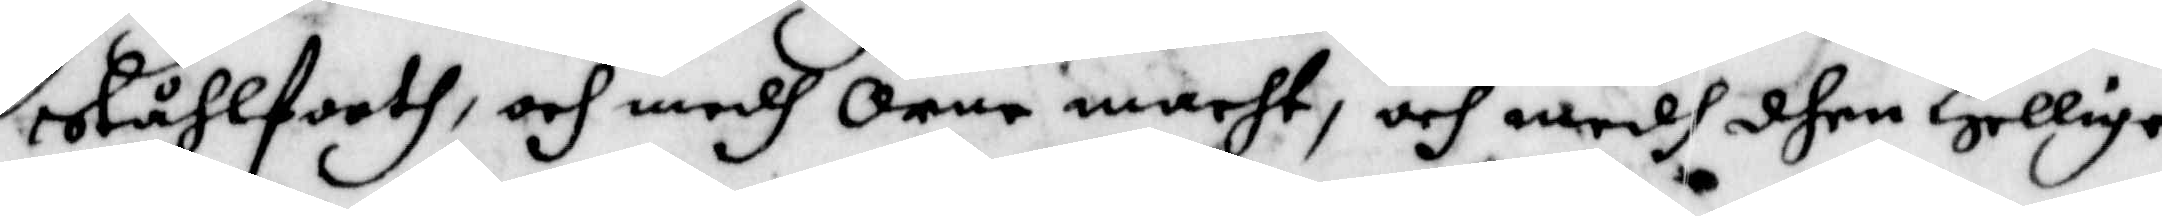Slåhlfooth, och medh Örne macht, och medh dhen Hellige
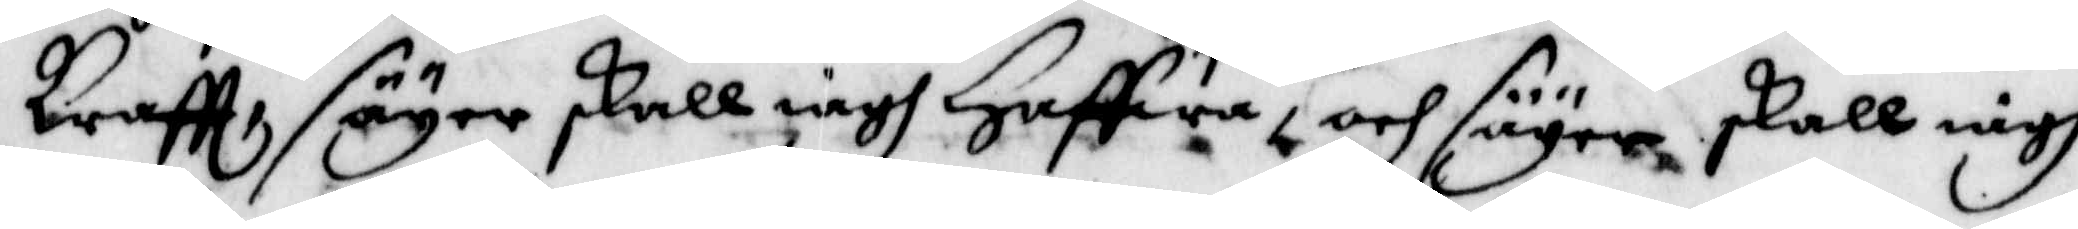Kraftt, säyer skall iagh Haffwa, och säyer skall iagh
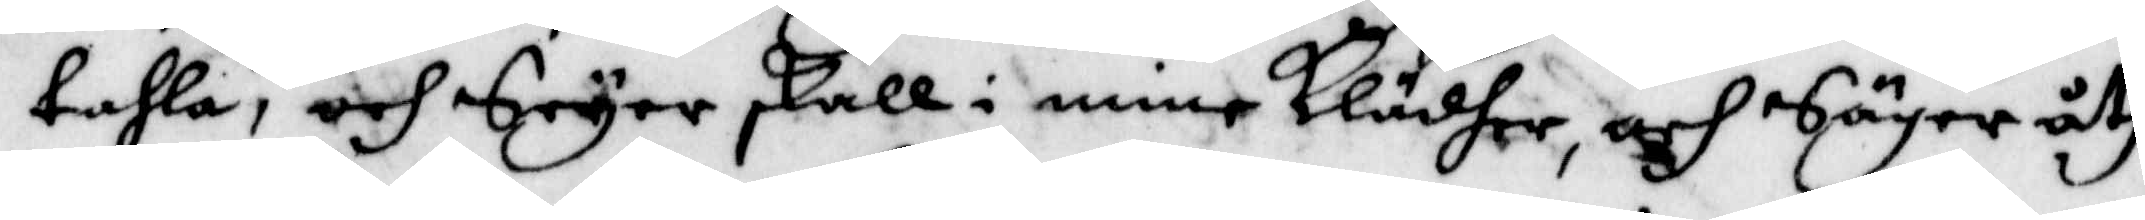tahla, och Seyer skall i mine Klädher, och Säger åth
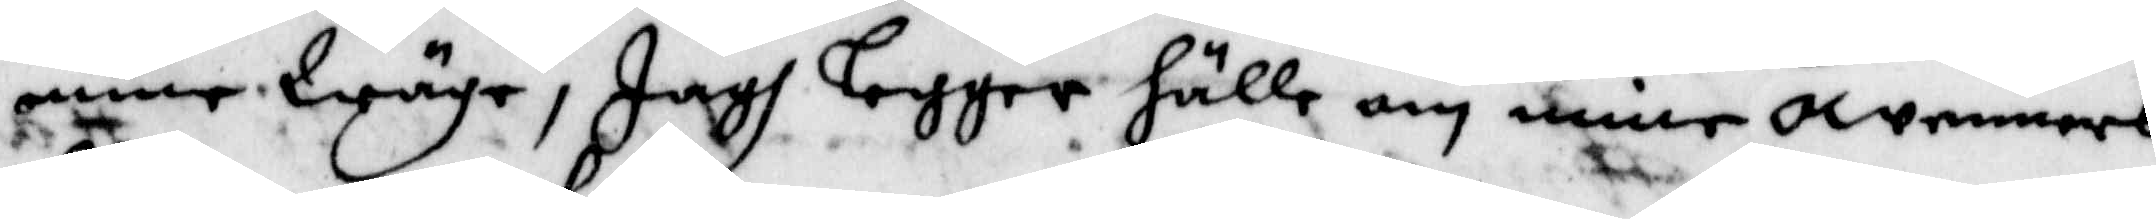mine Wäge, Jagh Logger hälle om mine owenners
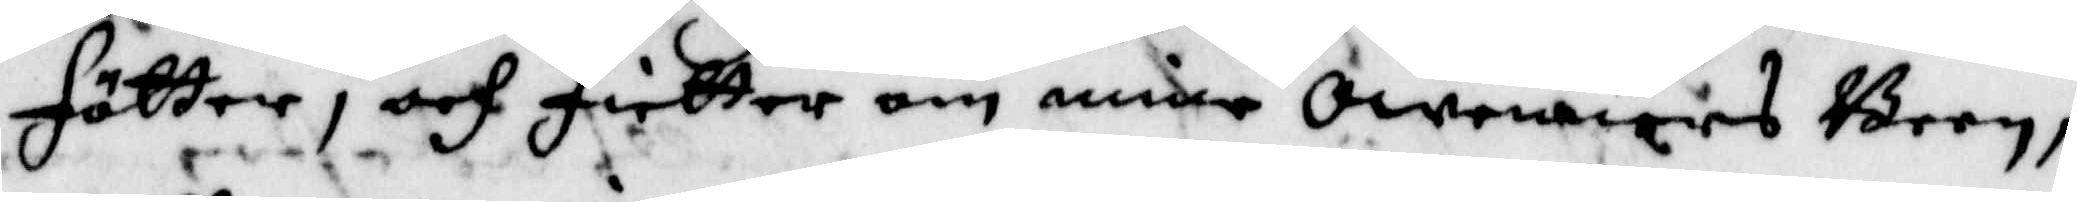Fötter, och Fietter om mine owenners Been,
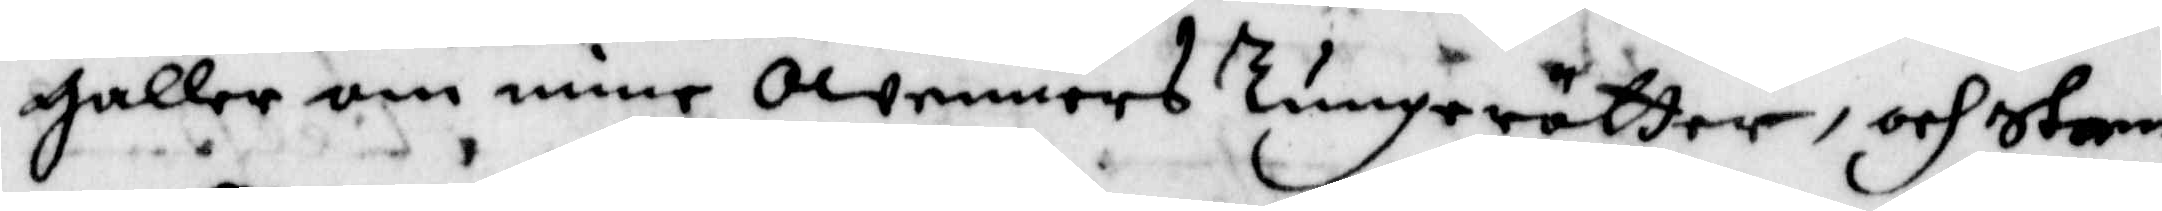galler om mine owennes Tunerötter, och Stem¬
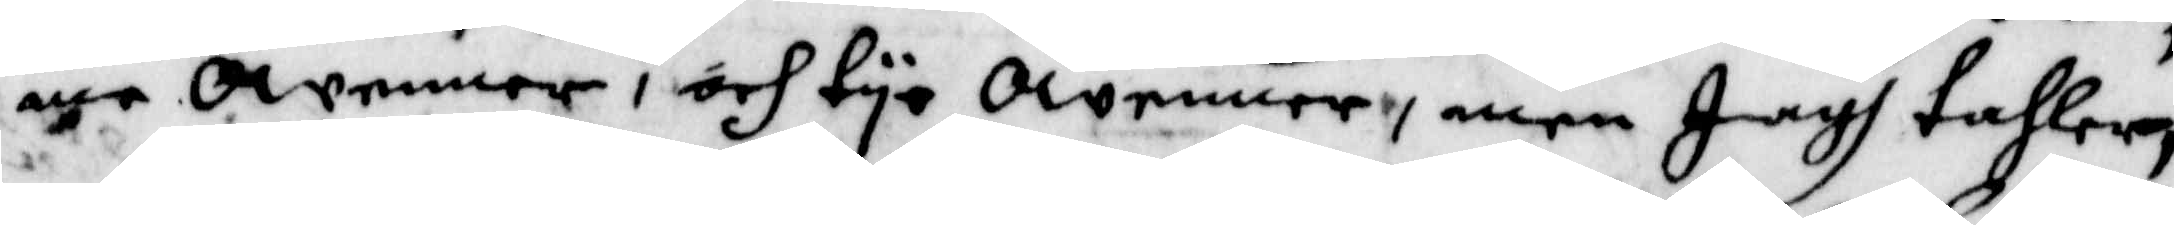me owenner, och tye owenner, men Jagh tahlar,
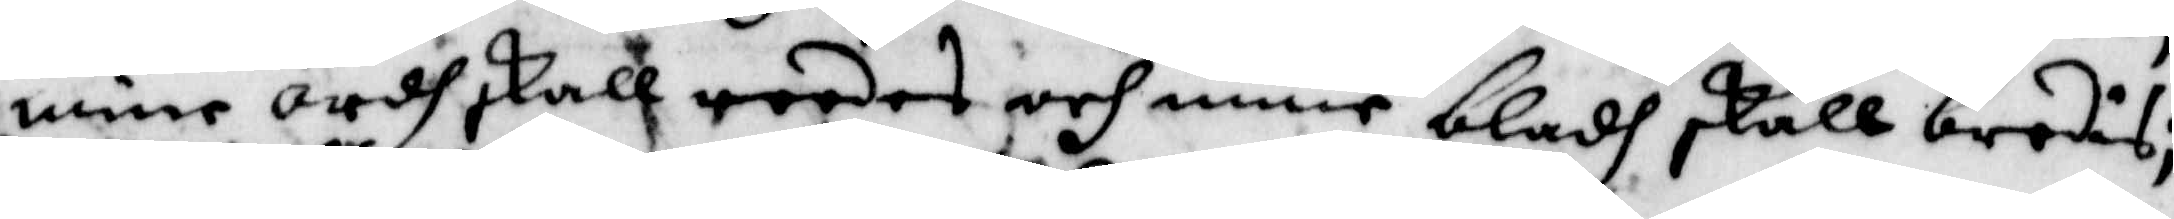mine ordh skall reedes och mine bladh skall brodis;
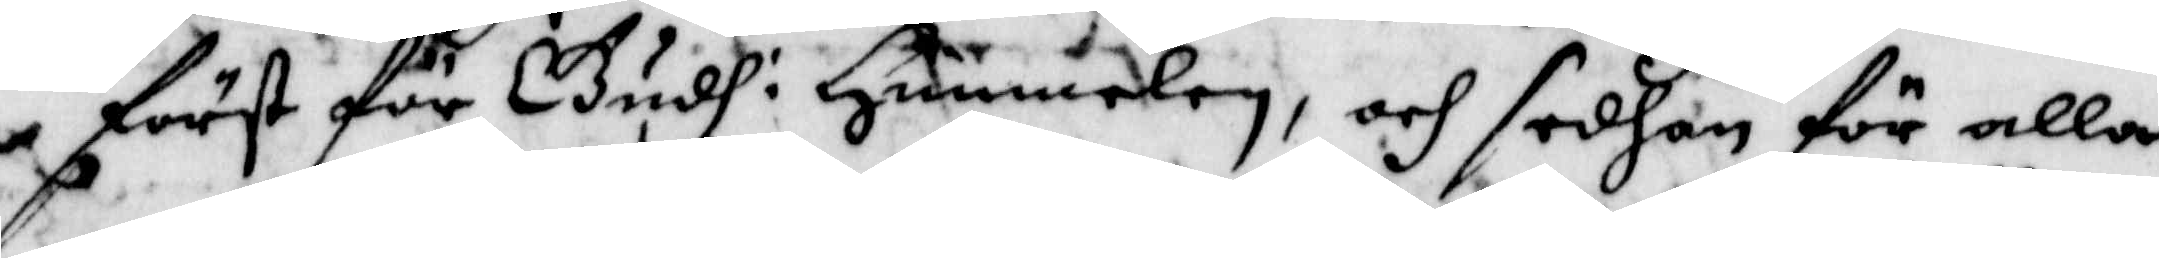först för Gudh i Himmelen, och sedhan för alla
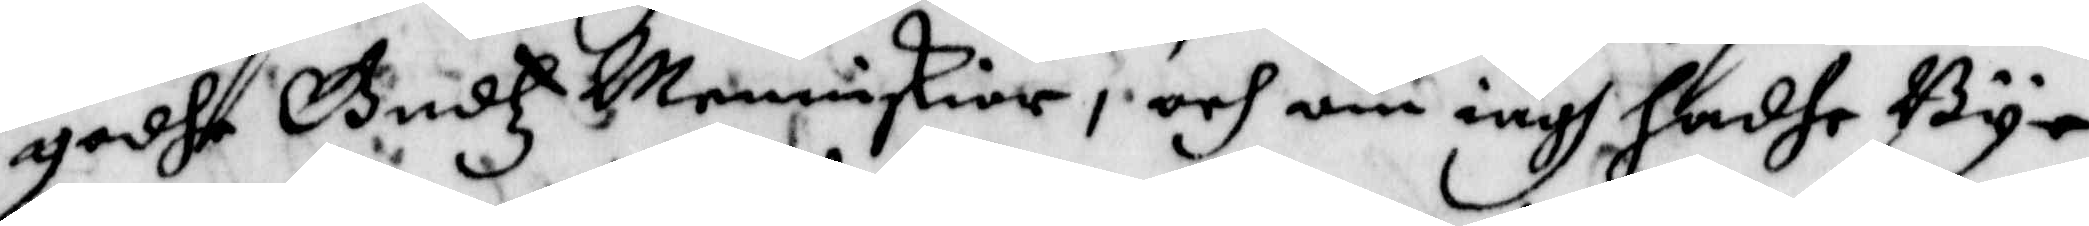godhe Gudtz Menniskior, och om iagh hadhe By¬
